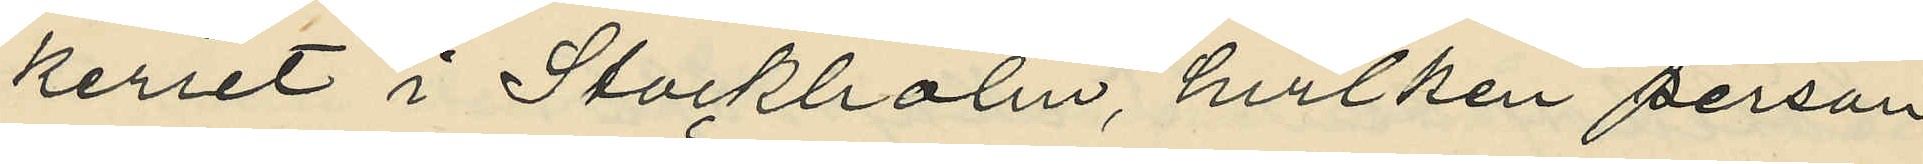keriet i Stockholm, hvilken person
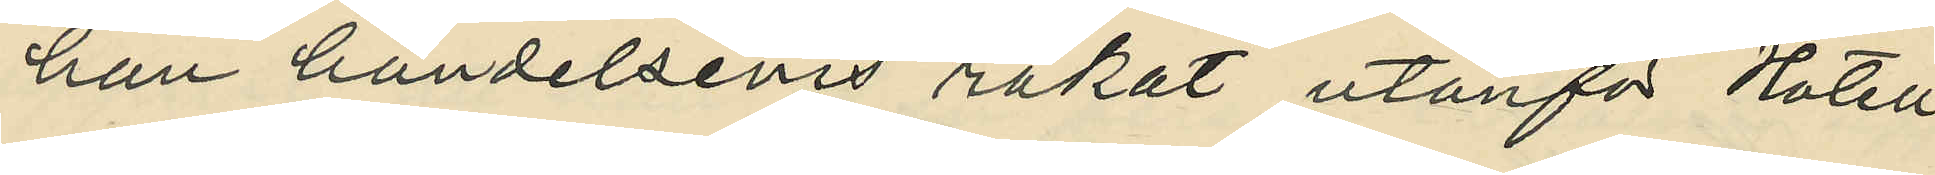han händelsevis råkat utanför Hotell
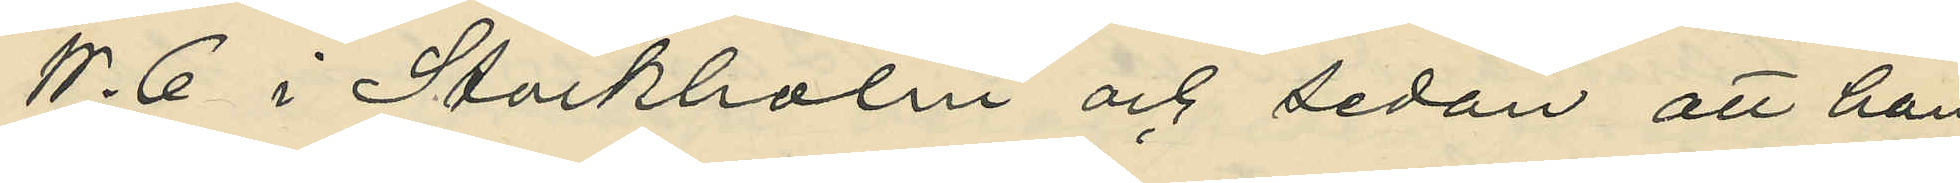W. 6 i Stockholm och sedan att han
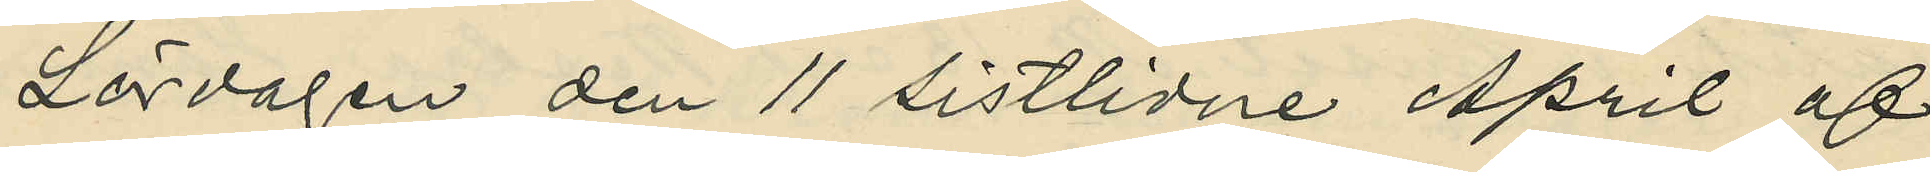Lördagen den 11 sistlidne April af
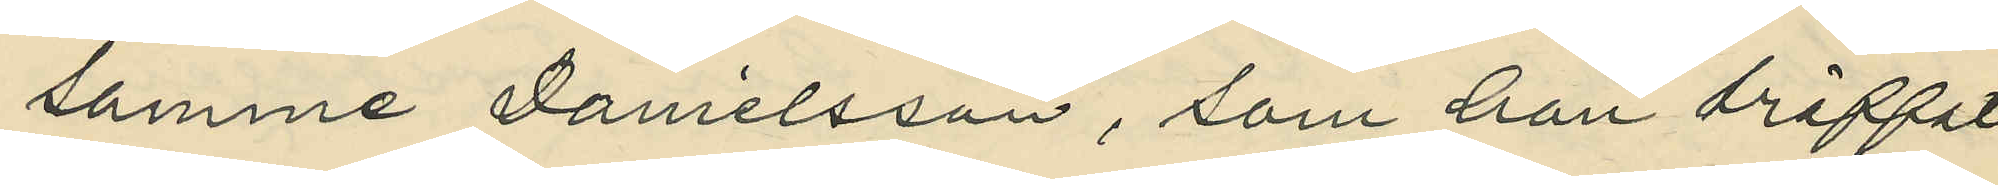samme Danielsson, som han träffat
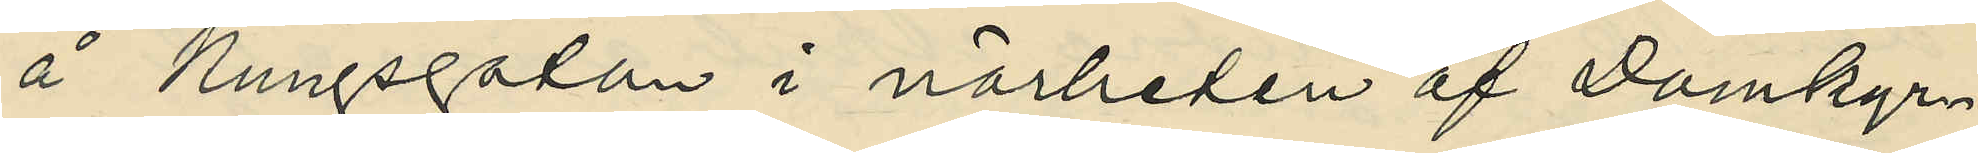å Kungsgatan i närheten af Domkyr¬
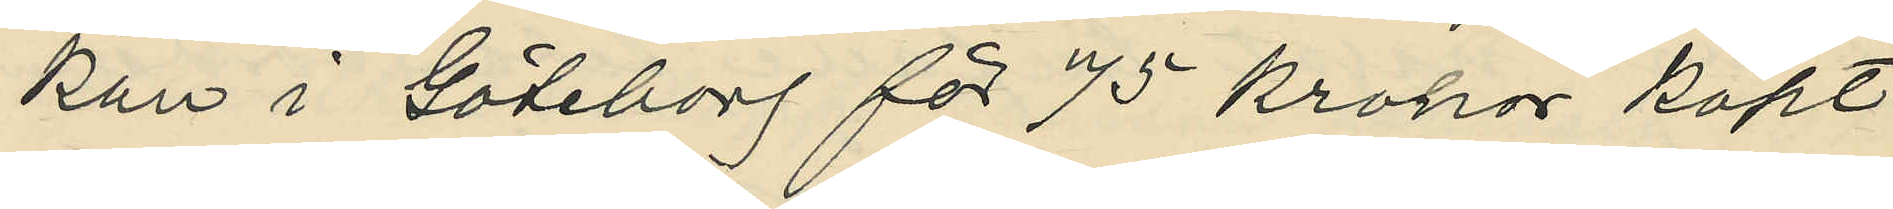kan i Göteborg för 75 kronor köpt
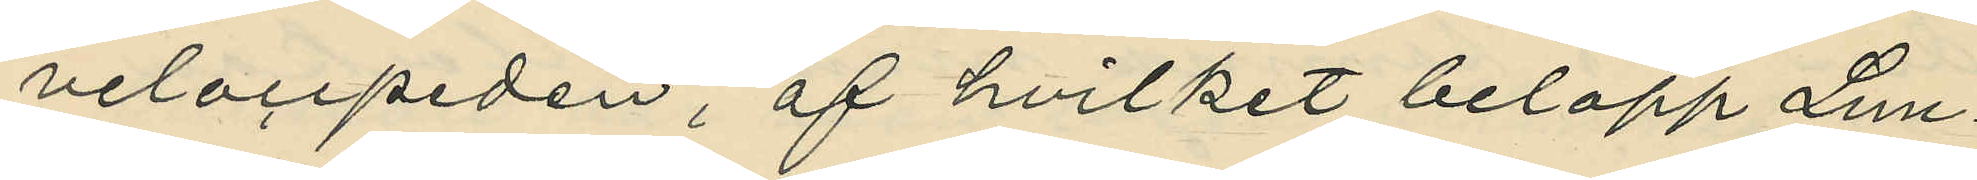velocipeden, af hvilket belopp Lun¬
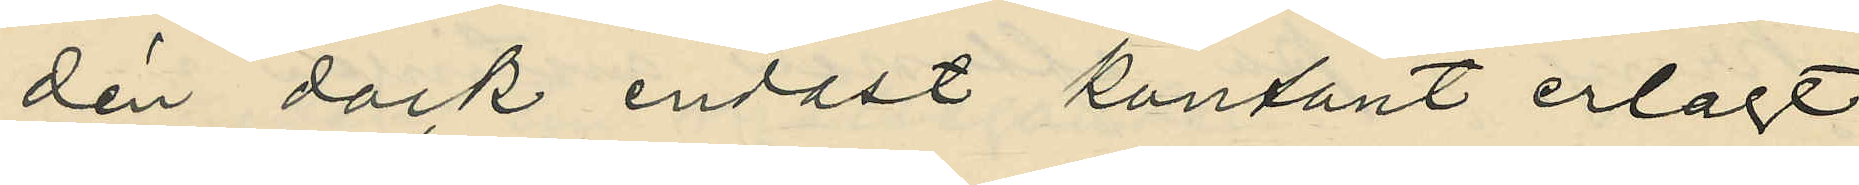dén dock endast kontant erlagt
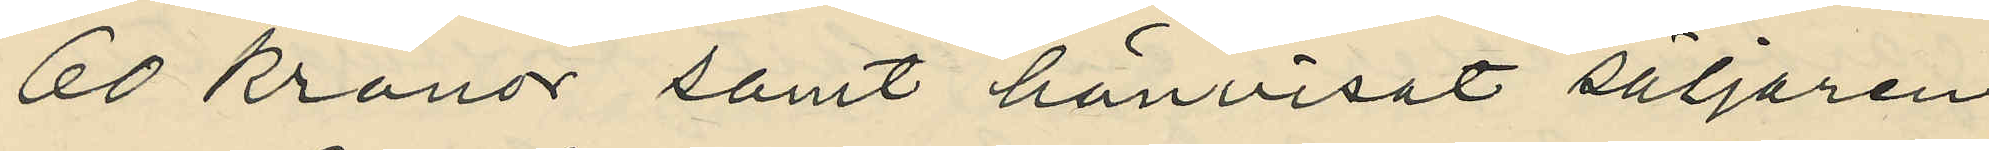60 kronor samt hänvisat säljaren
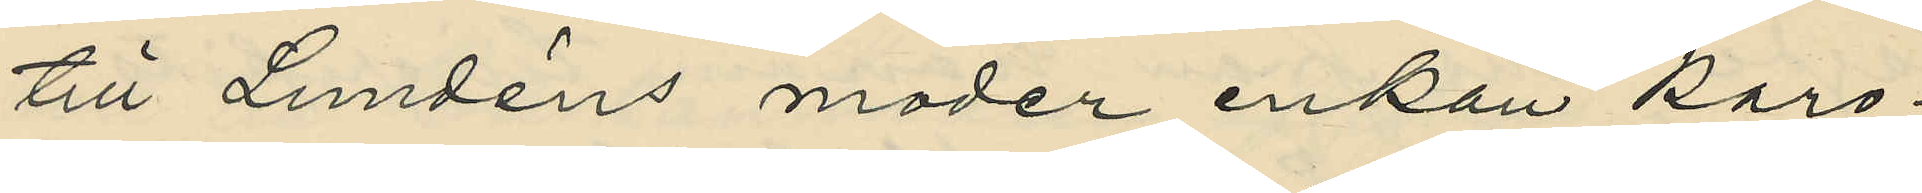till Lundéns moder enkan Karo¬
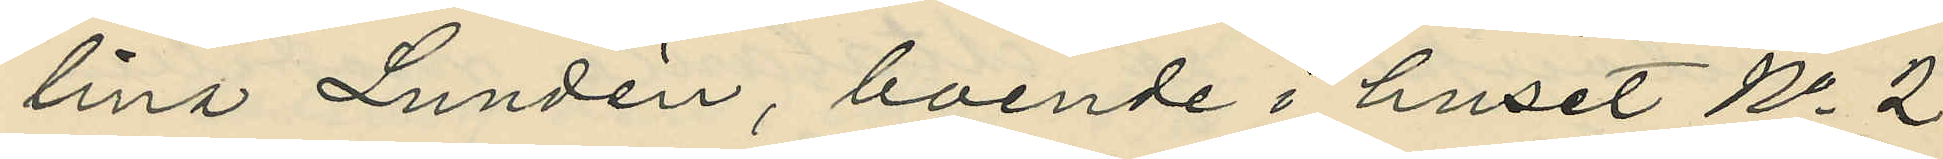lina Lundén, boende i huset No 2
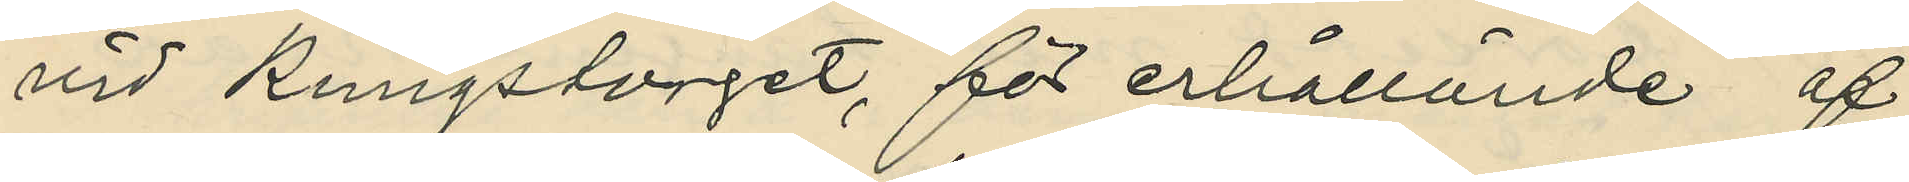vid Kungstorget, för erhållände af
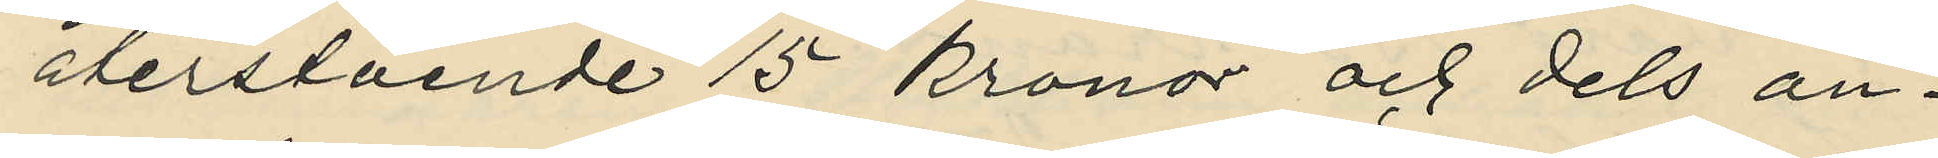återstående 15 kronor och dels an¬
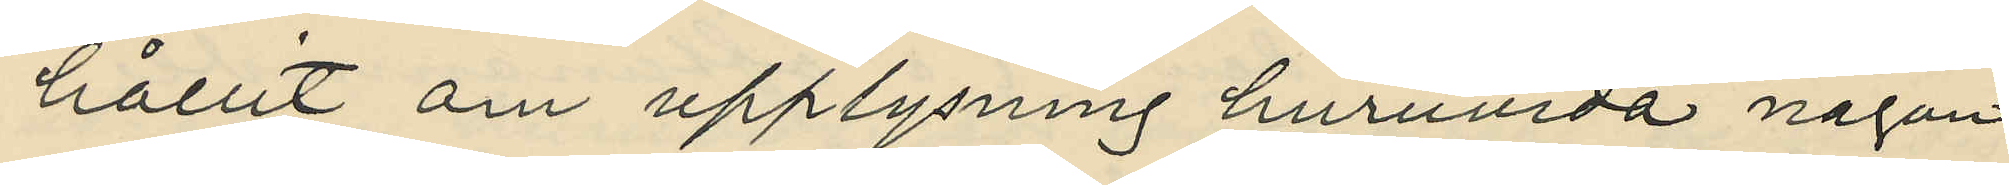hållit om upplysning huruvida någon
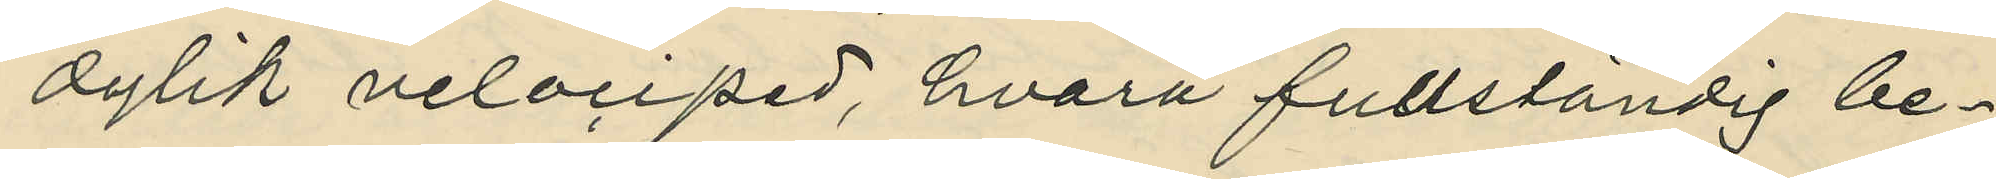dylik velociped, hvarå fullständig be¬
